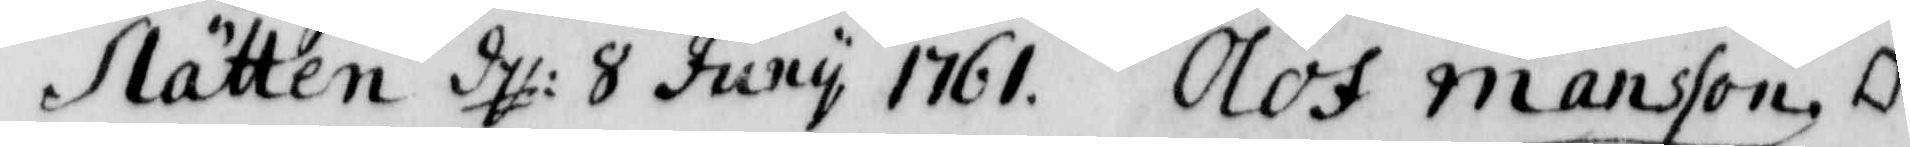Slätten d: 8 Juny 1761. Olof Månsson.
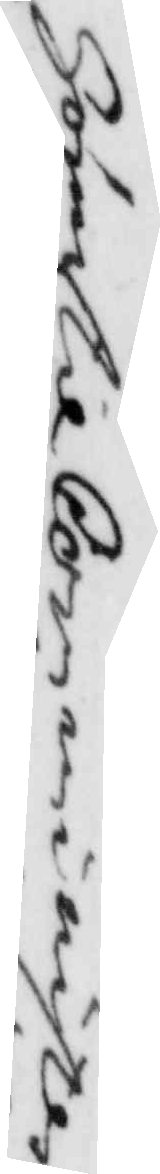Hör til Comminister
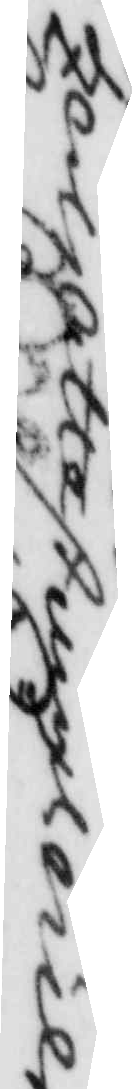Zerks attest angl Nils
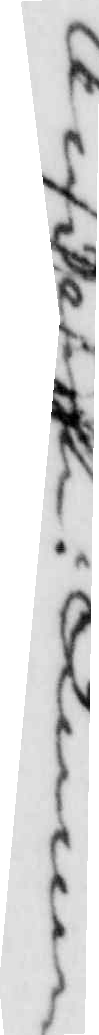Andersson i Kimme.
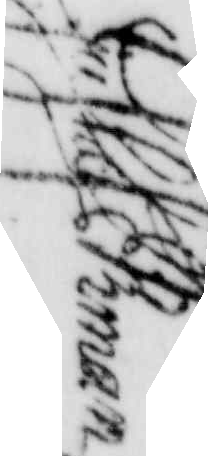Gustaf Ekman
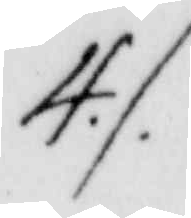4./.
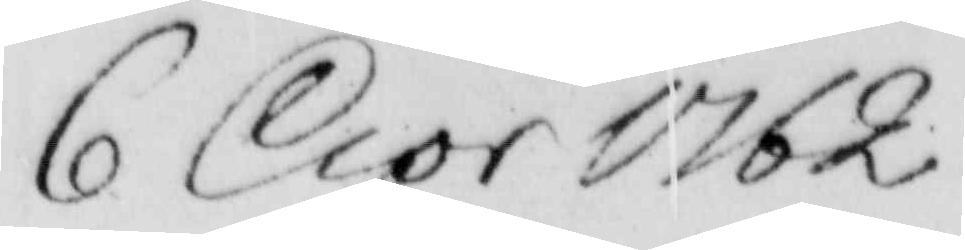6 Apr 1762.
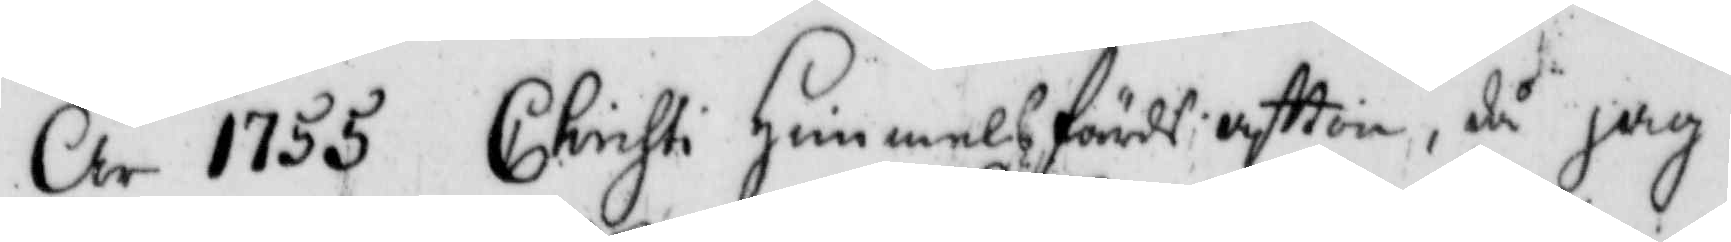År 1755 Christi Himmelsfärds aftton, då jag
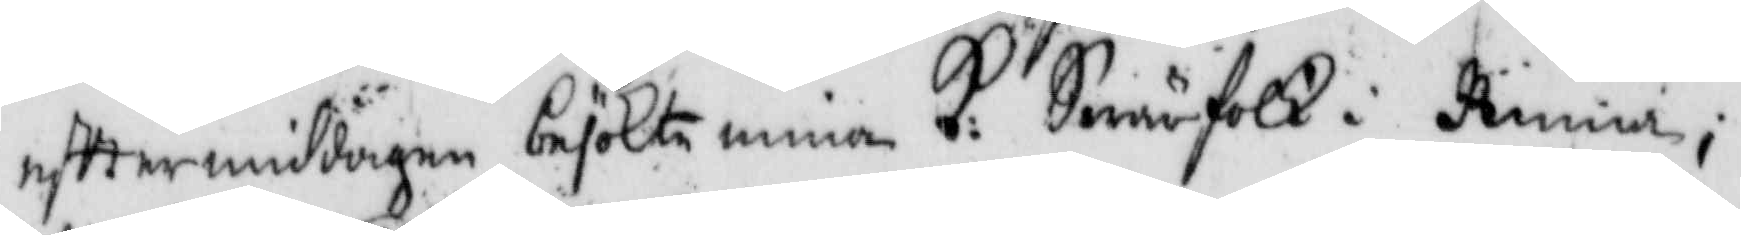efttermiddagen besökte mina K: Swärfolk i Kinna;
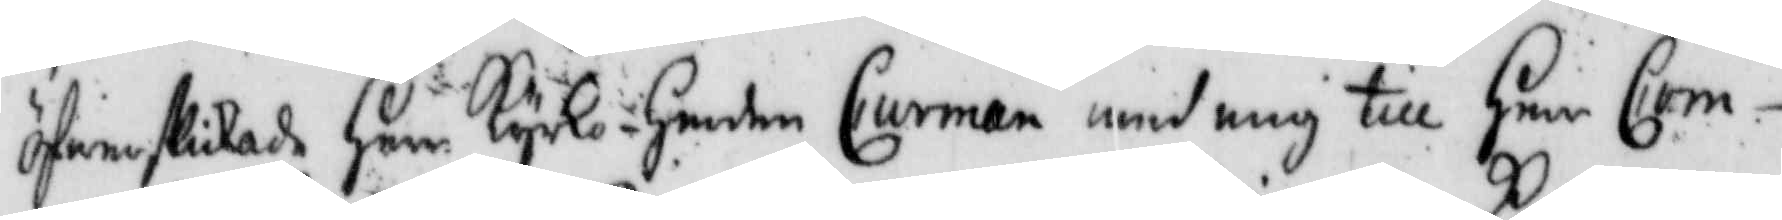öfwerskikade Herr Kyrko-herden Curman med mig till Herr Com¬
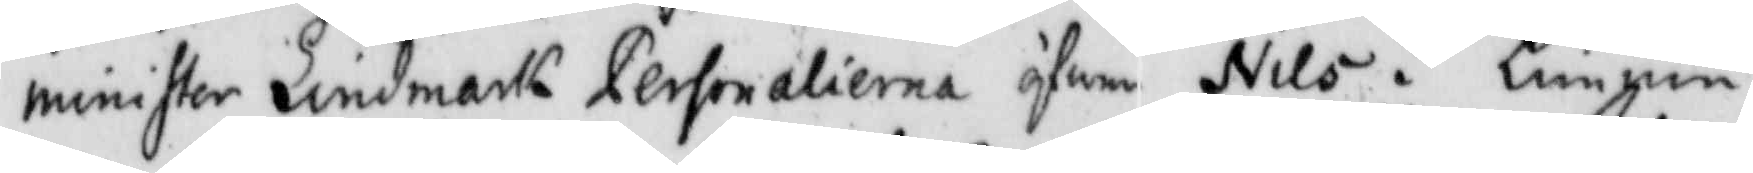minister Lindmarks Personalierna öfwer Nils i Kimme
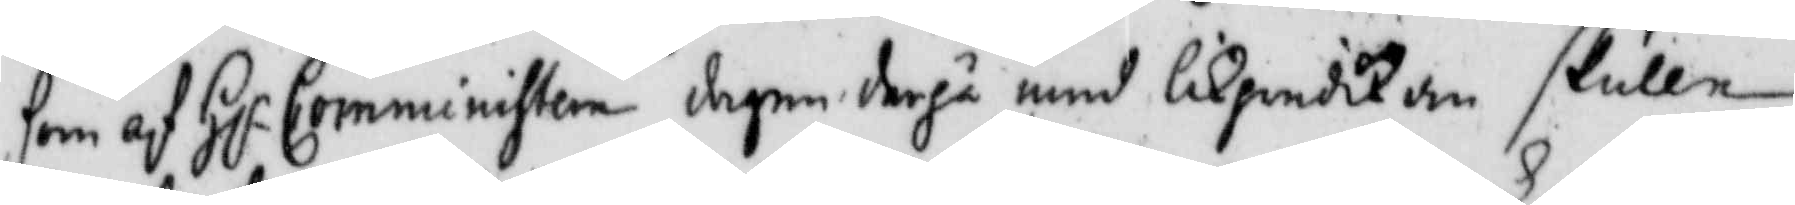som af Hr Comministern dagen derpå med likpredikan skulle
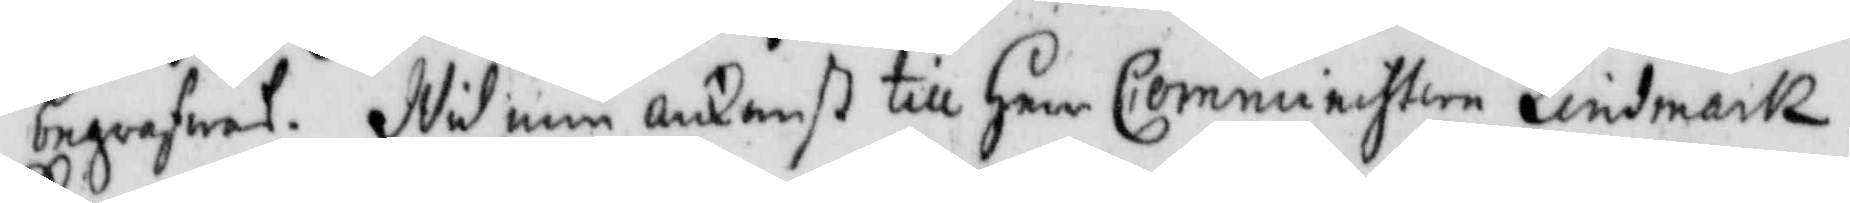begrafwas. Wid min ankomst till Herr Comministern Lindmark
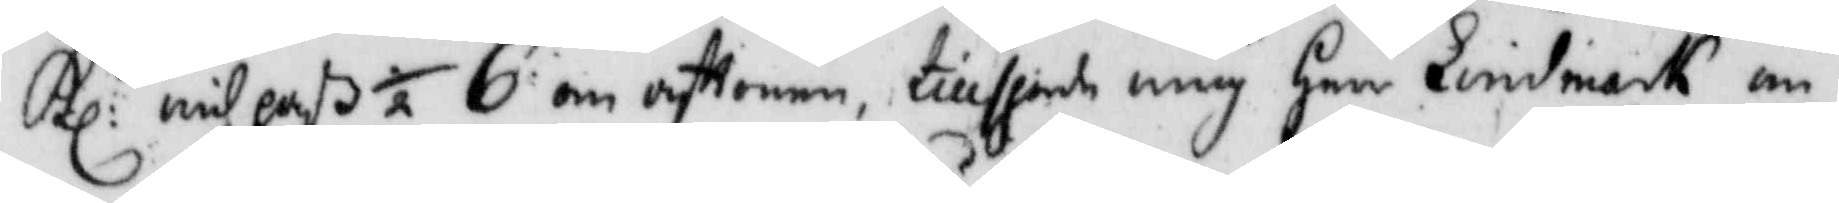Kl: wid paß ½ 6 om aftonen, tillsporde mig Herr Lindmark om
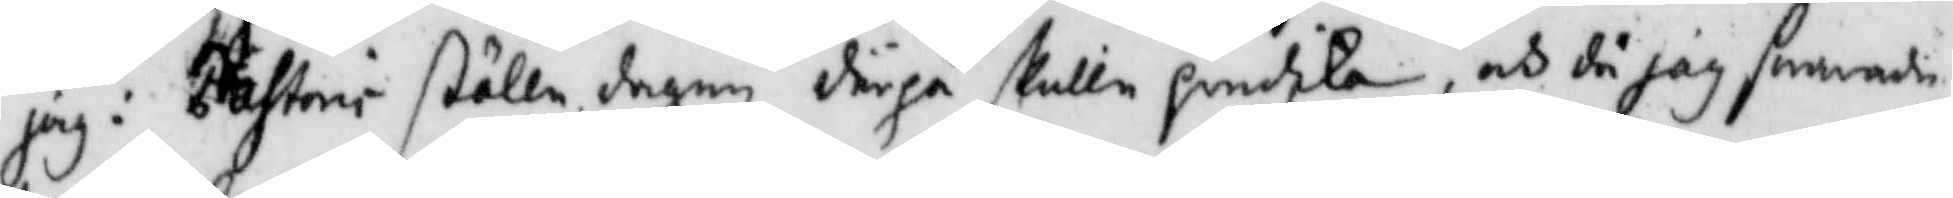jag i Pastori ställe dagen derpå skulle predika, och då hag swarade 
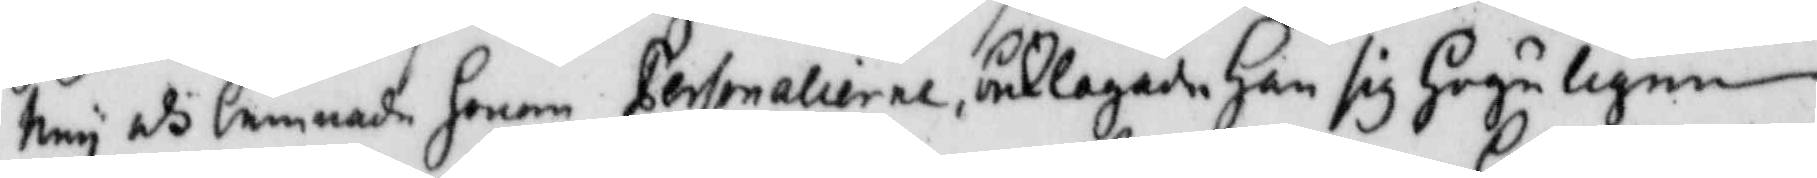Ney och lemnade honom Personalierne, beklagade Han sig Högeligen
